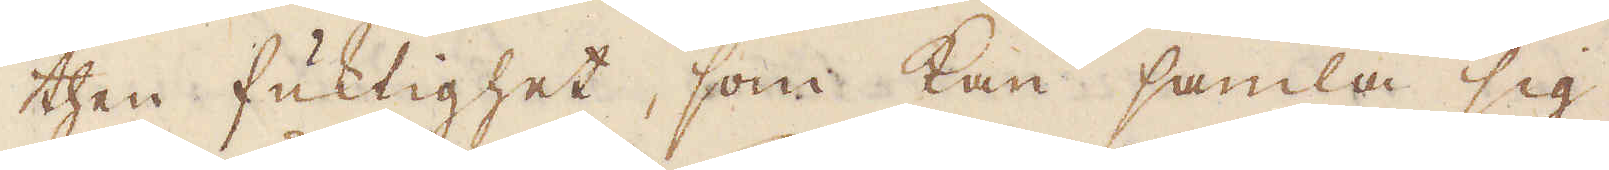then fuktighet, som kan samla sig
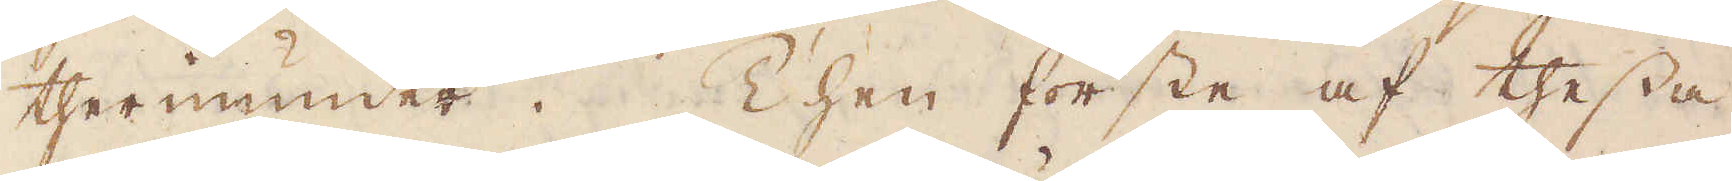therinunder. Then förste af thessa
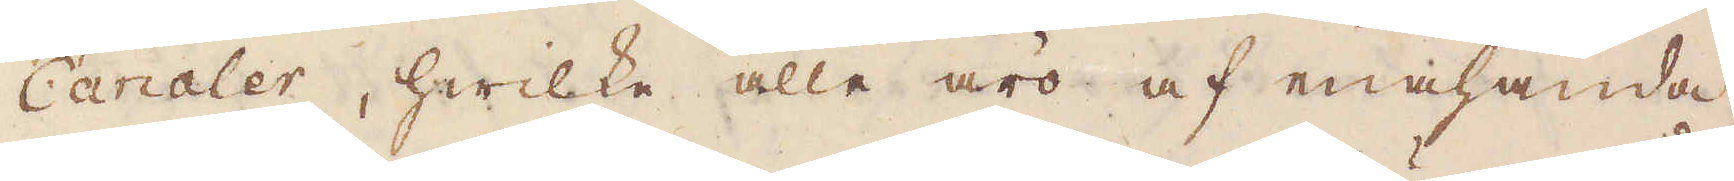Caraler, hwilka alla äro af enahanda
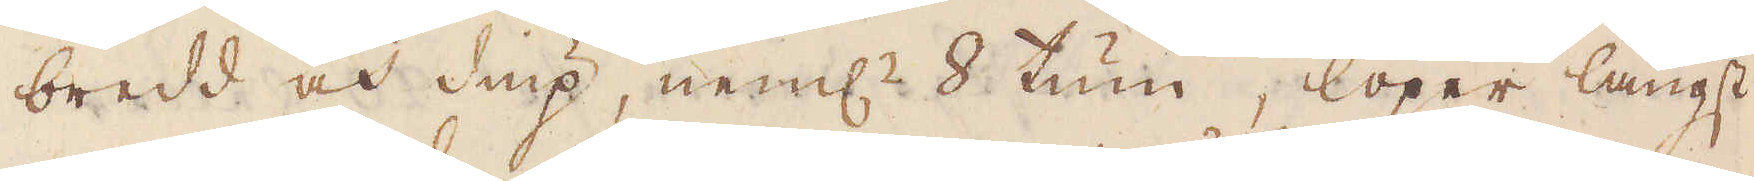bredd och diup, neml:n 8 tum, löper längst
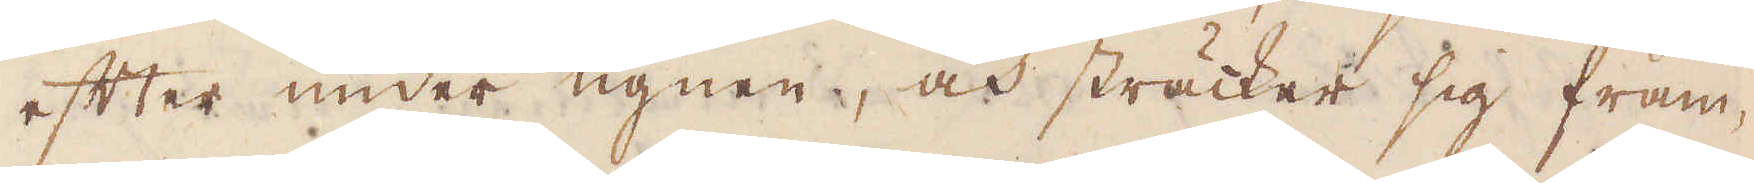efter under ugnen, och sträcker sig fram-
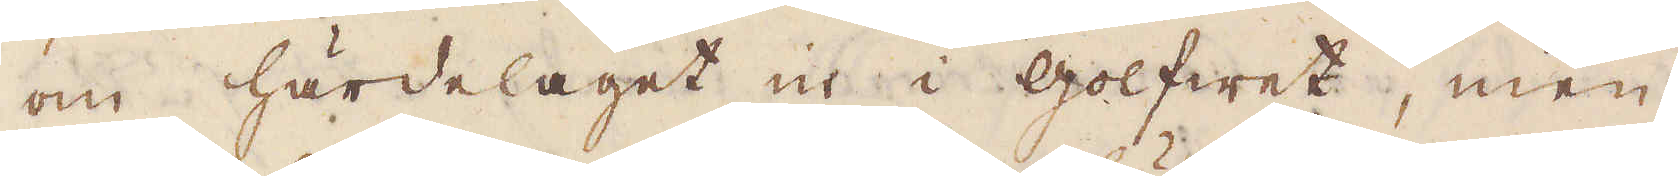om härdelaget in i golfwet, men
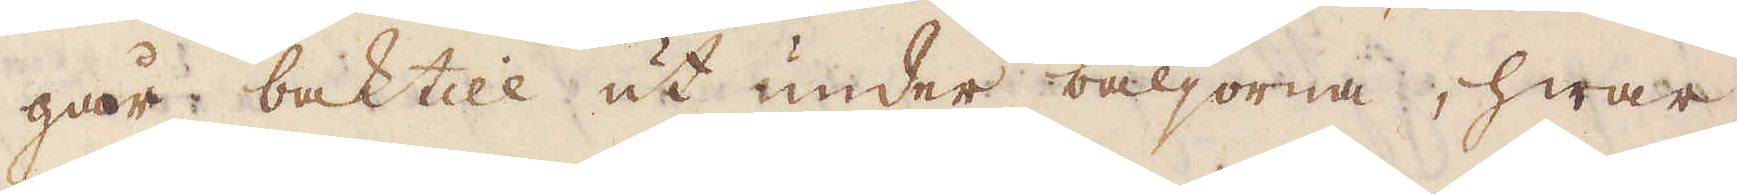går baktill ut under bäljorna, hwar
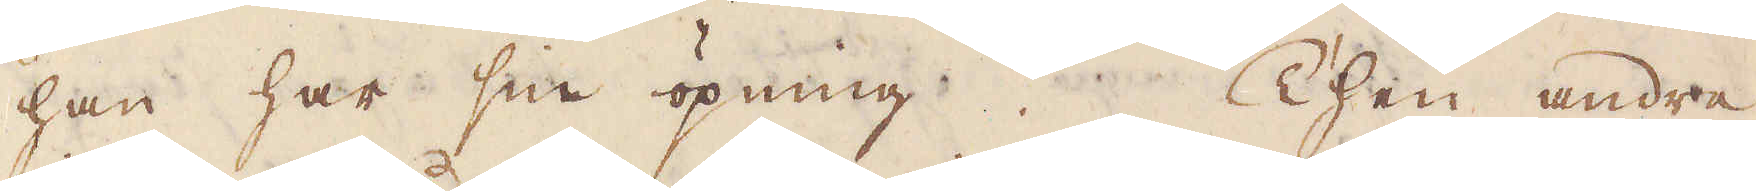han har sin öpning Then andre
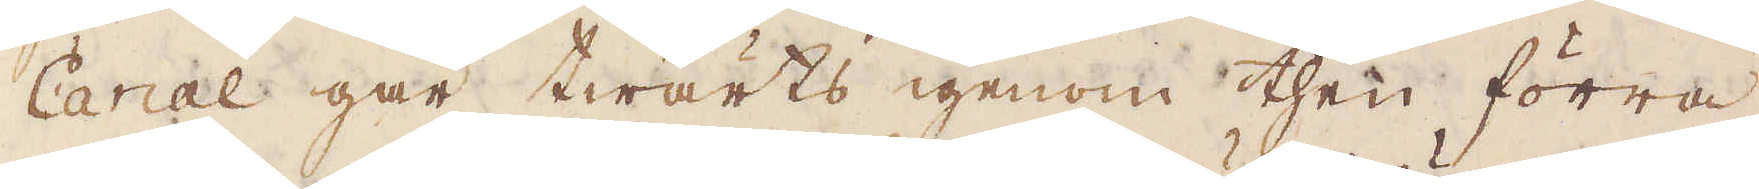Canal går twärts igenom then förra
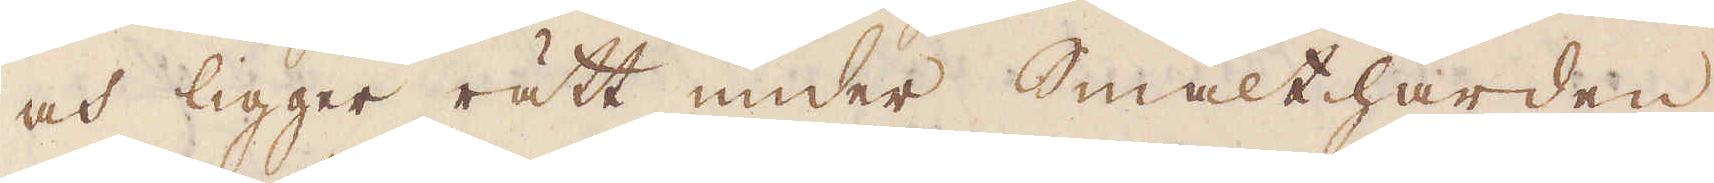och ligger rätt under Smälthärden
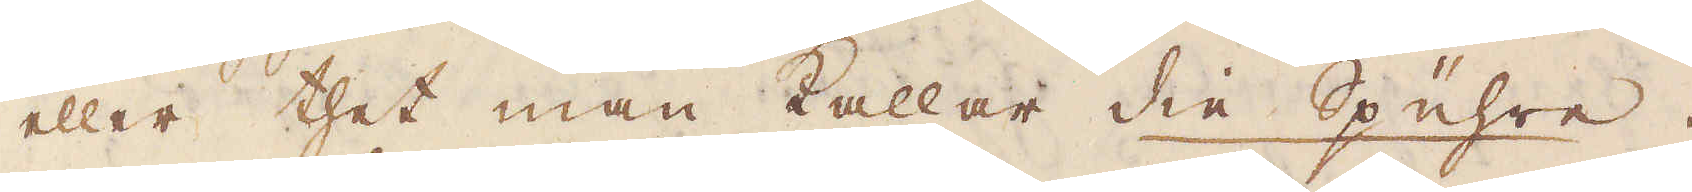eller thet man kallar die Spüuhre.
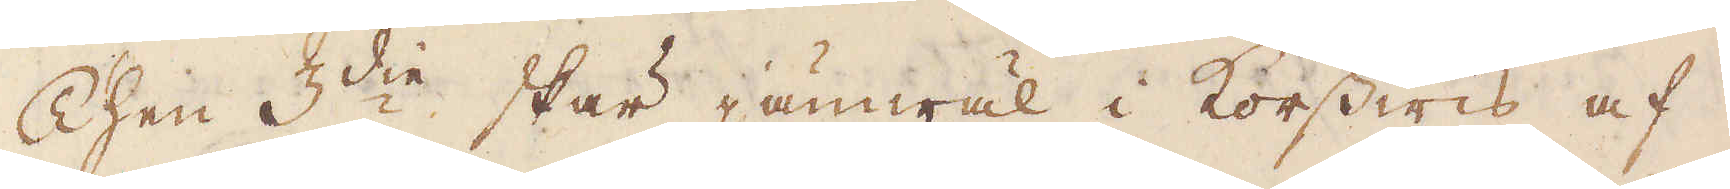Then 3:die skär jämwäl i korswis af
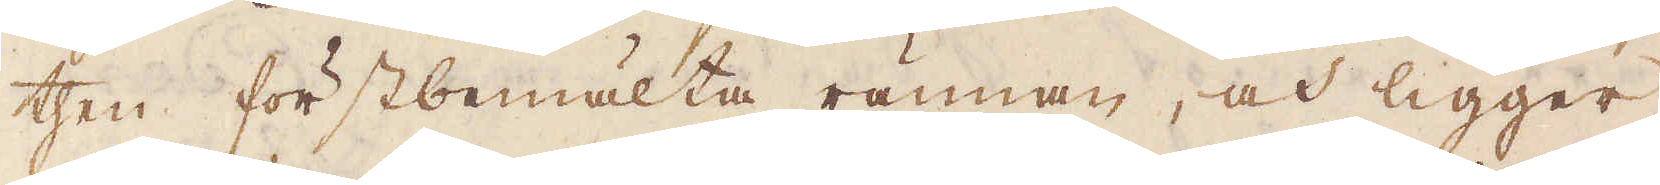then förstbemälta rännan, och ligger
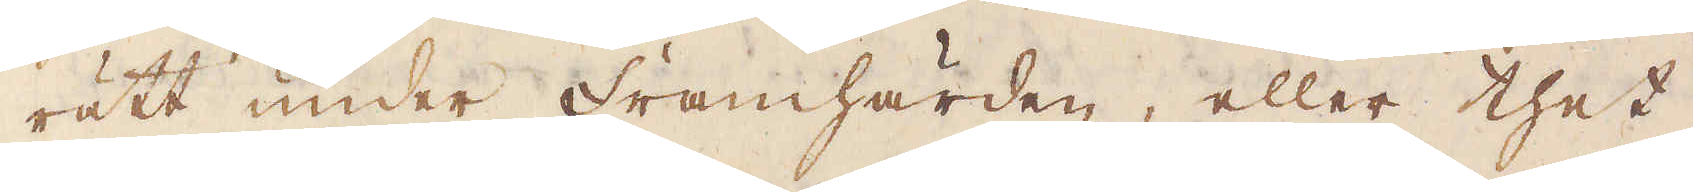rätt under framhärden, eller thet
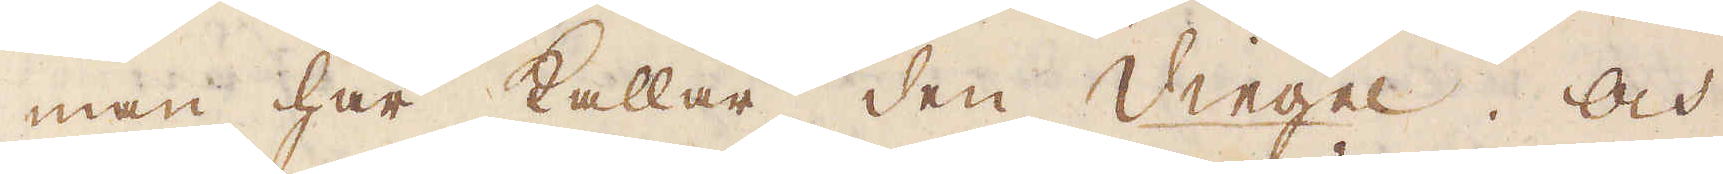man här kallar den Vingel. Och
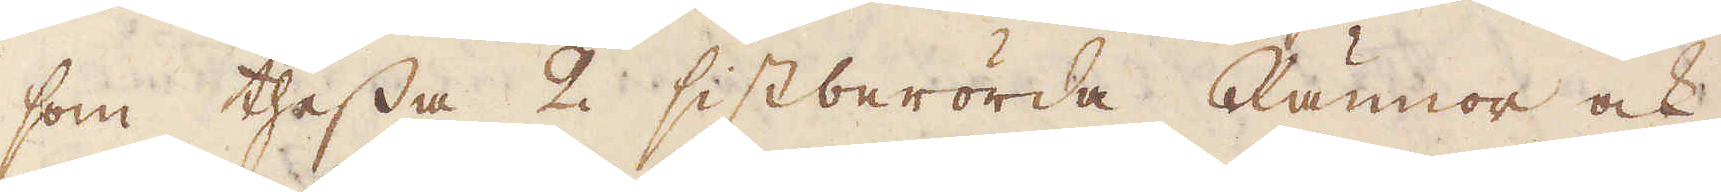som thessa 2 sistberörda Rännor ock
